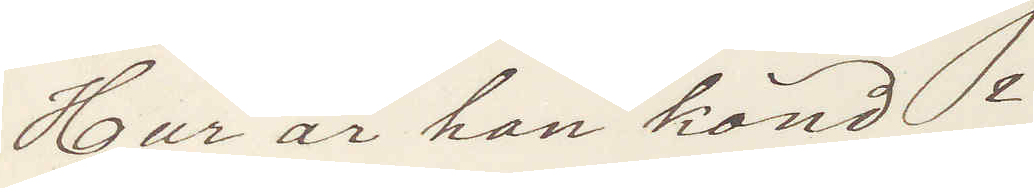Hur är han känd?
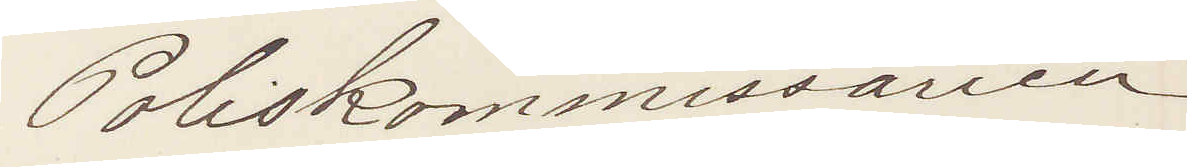Poliskommissarien
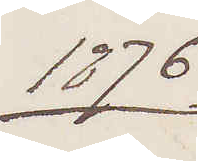1876
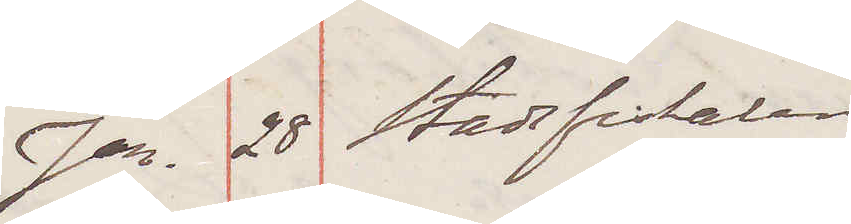Jan. 28 Stadsfiskalen
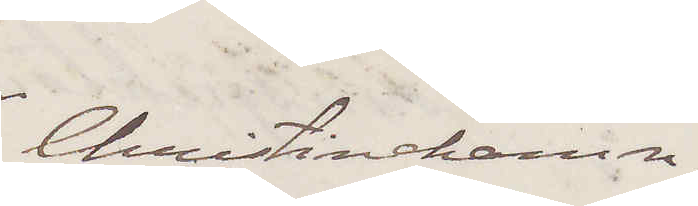Christinehamn
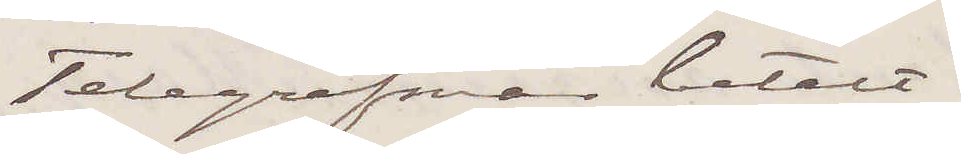Telegrafsvar betalt.
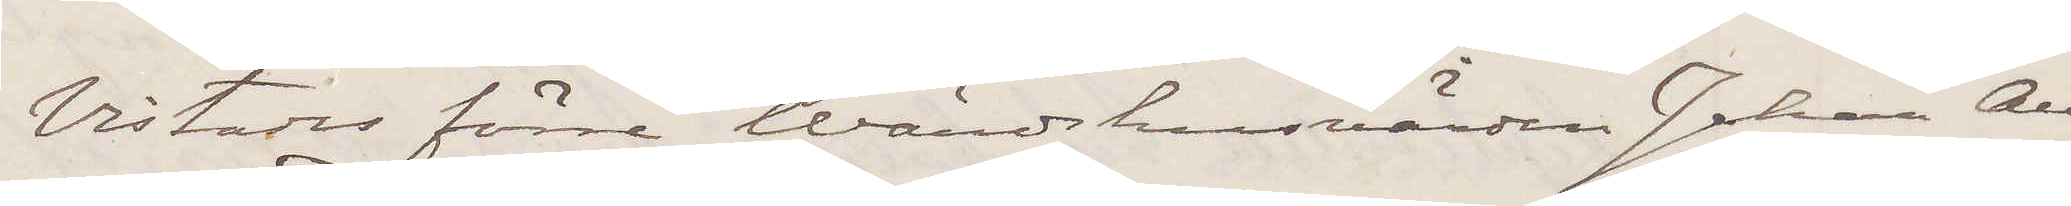Vistas förre Wärdshusvärden Johan Au¬
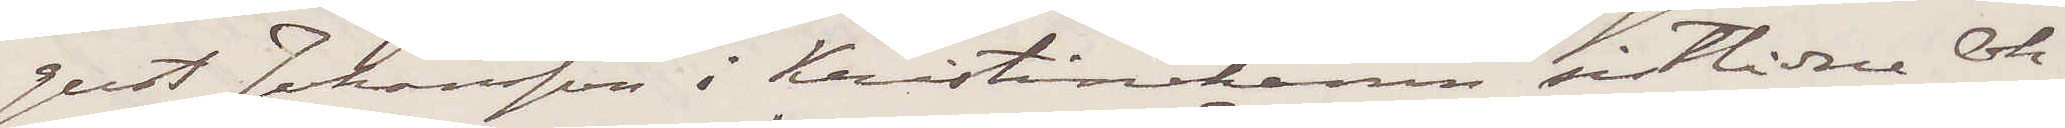gust Johansson i Kristinehamn sistlidne Ok¬
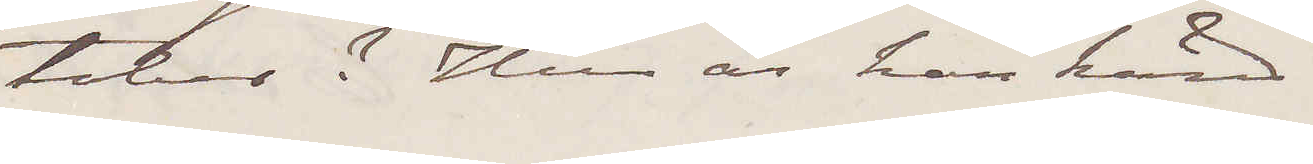tober? Huru är han känd.
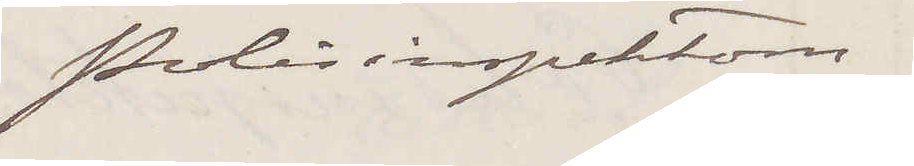Polisinspektorn.
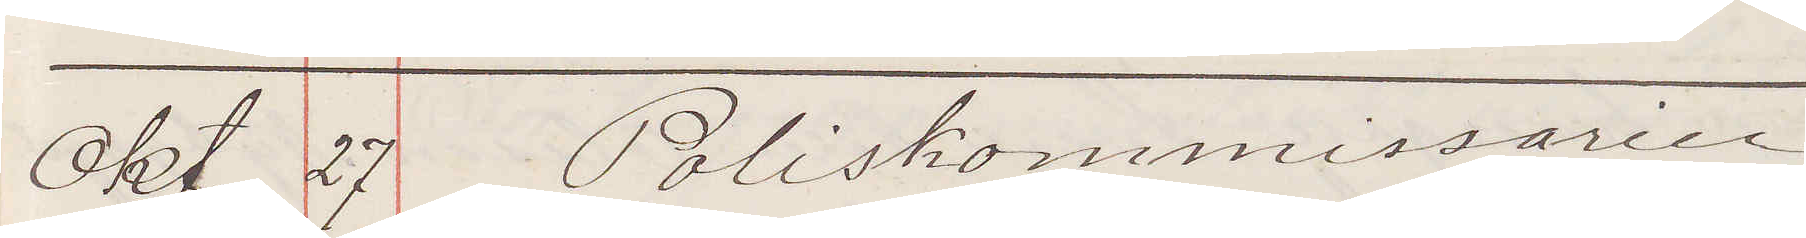Okt. 27 Poliskommissarie
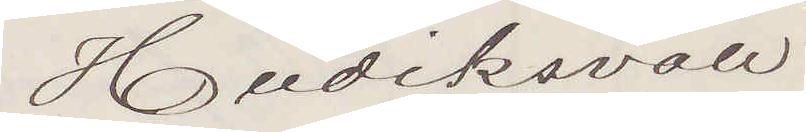Hudiksvall
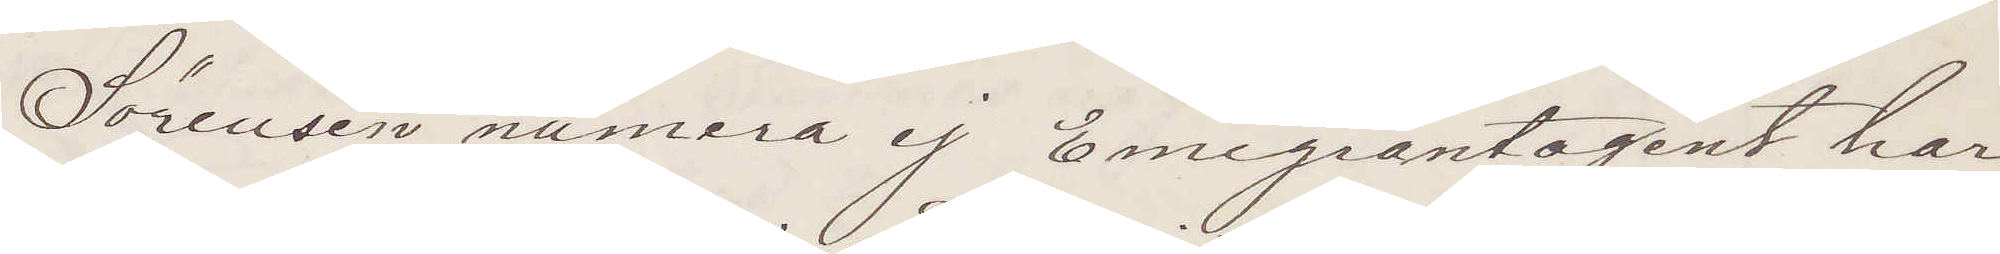Sörensén numera ej Emigrantagent, har
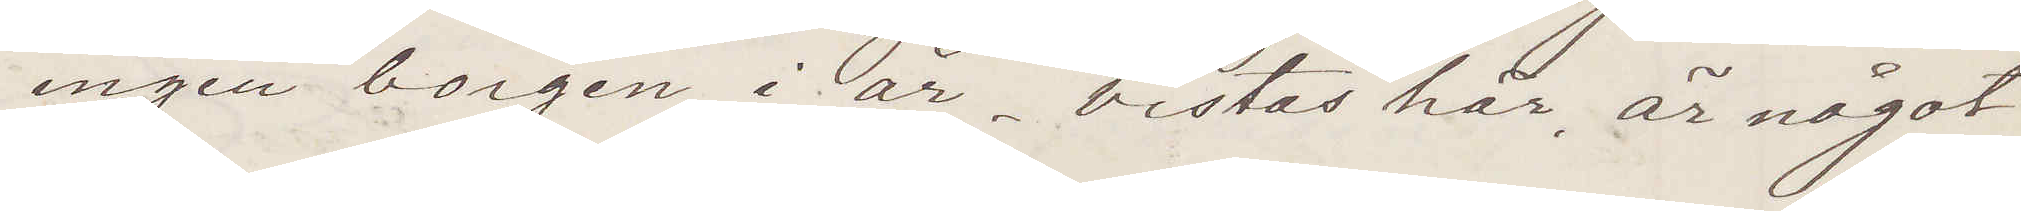ingen borgen i år, vistas här, är något
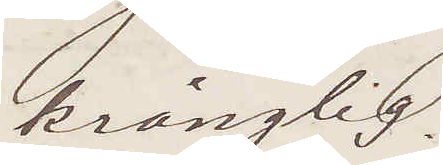krånglig.
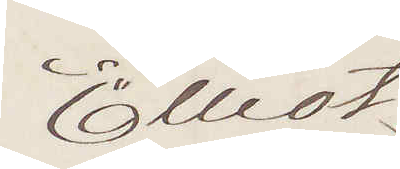Elliot
